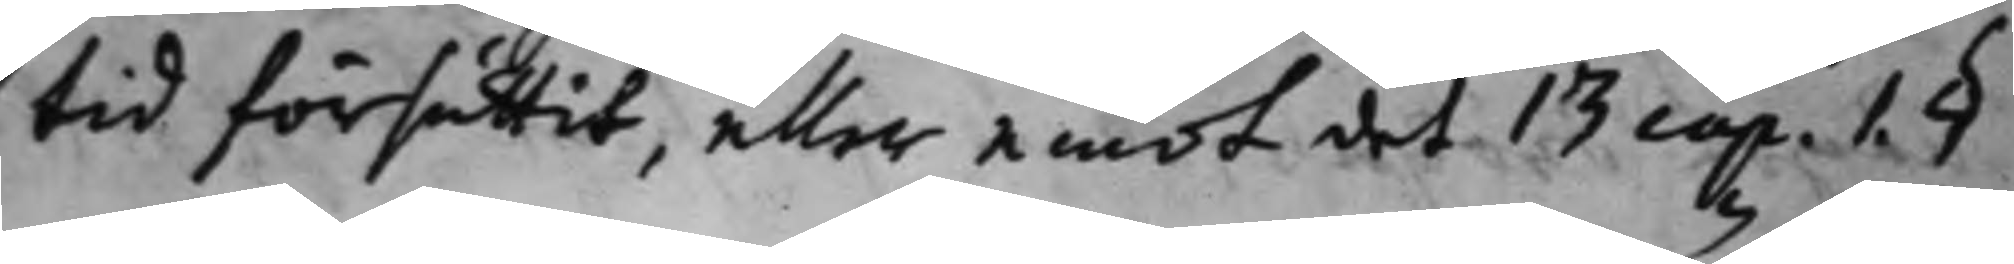tid försuttit, eller emot det 13 Cap. 1. §
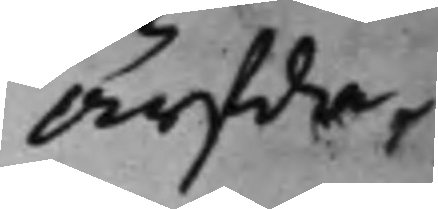Ärfda¬
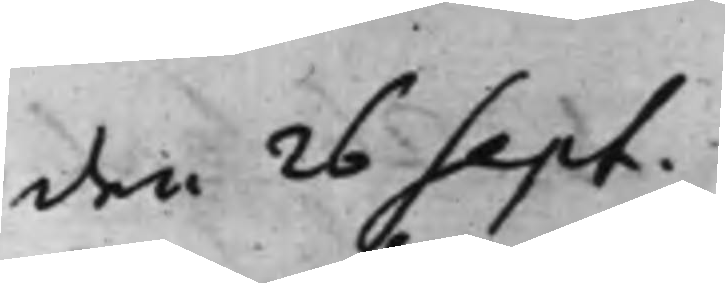den 26 Sept.
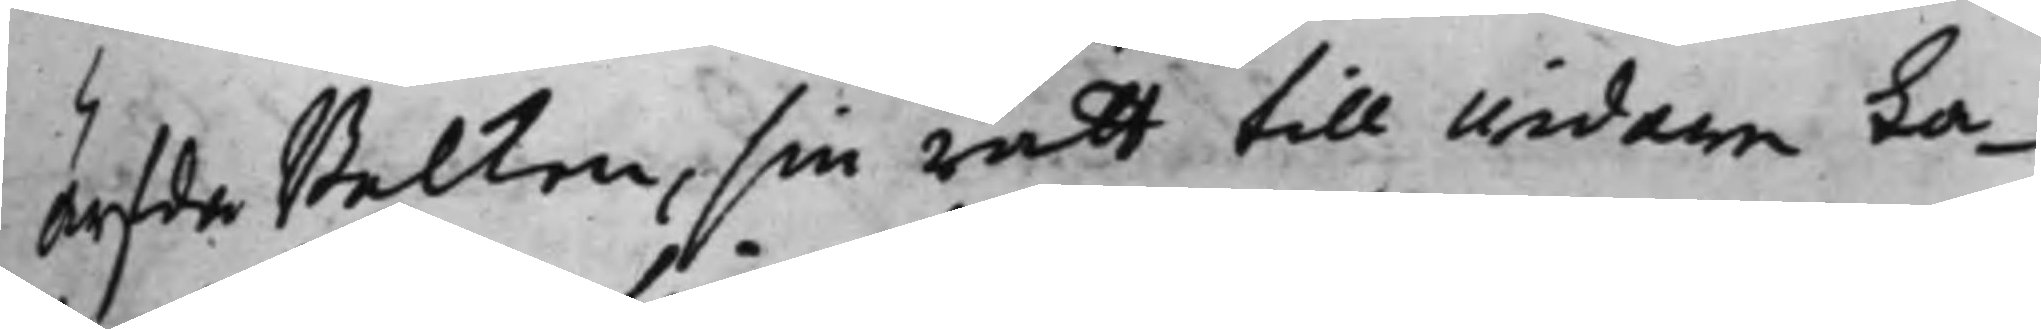Ärfda Balken, sin rätt till widare ta¬
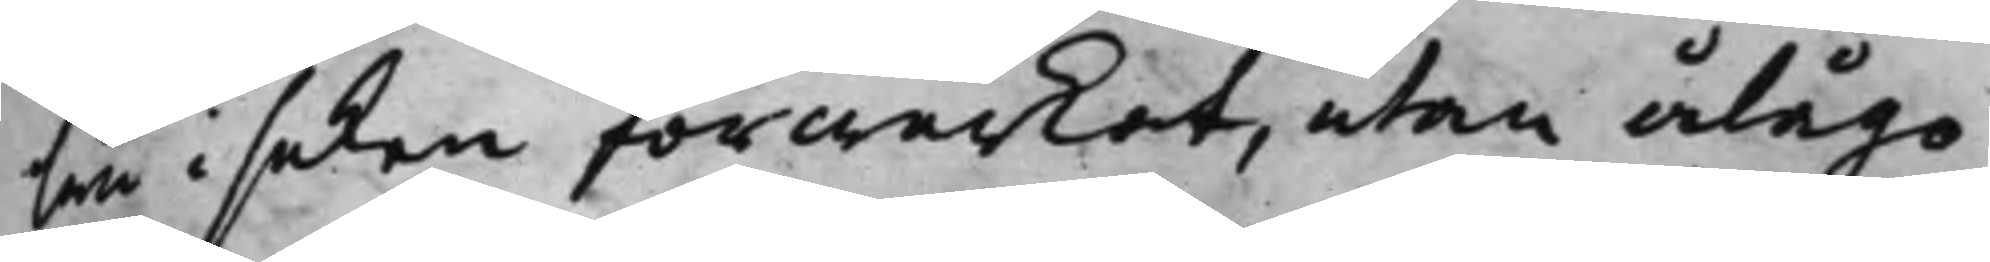lan i saken förwärkat, utan ålågo
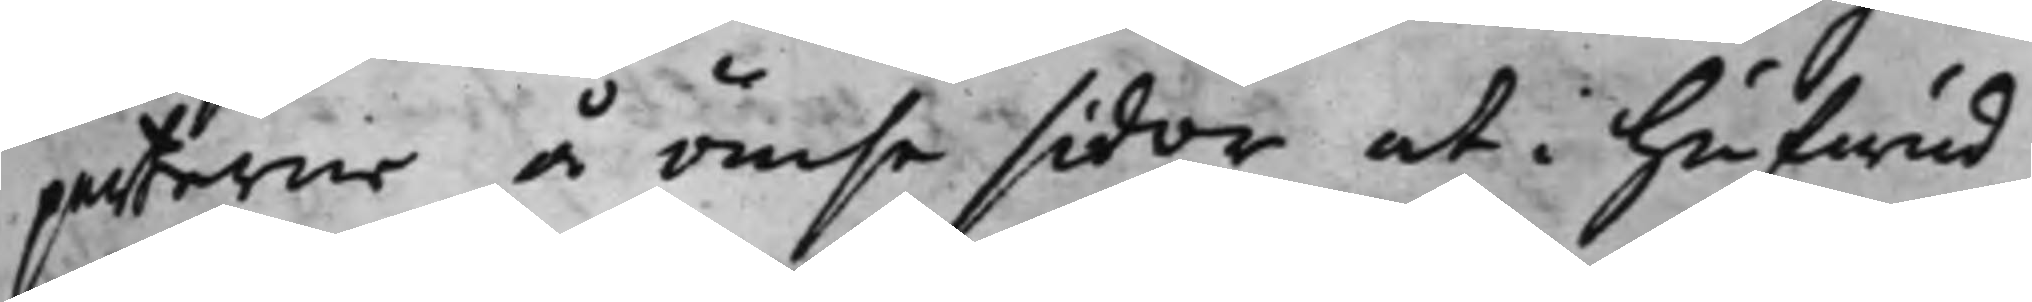parterne å ömse sidor at i hufwud¬
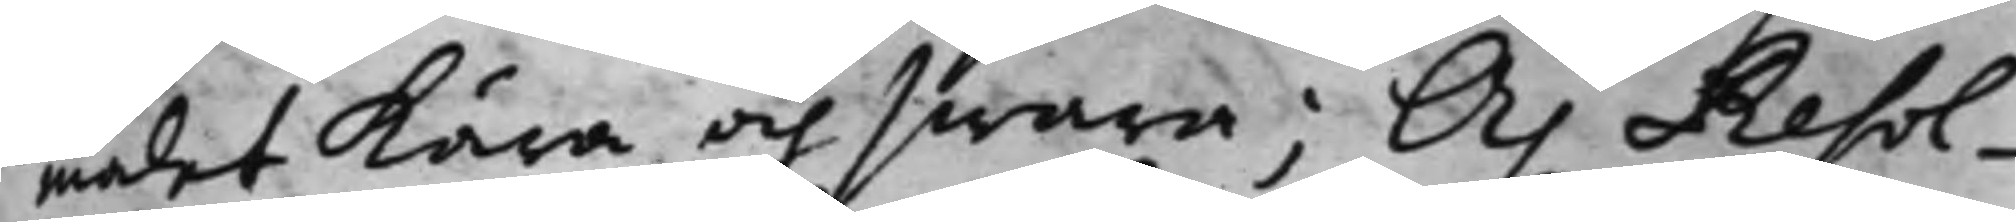målet kära och swara; Och Resol¬
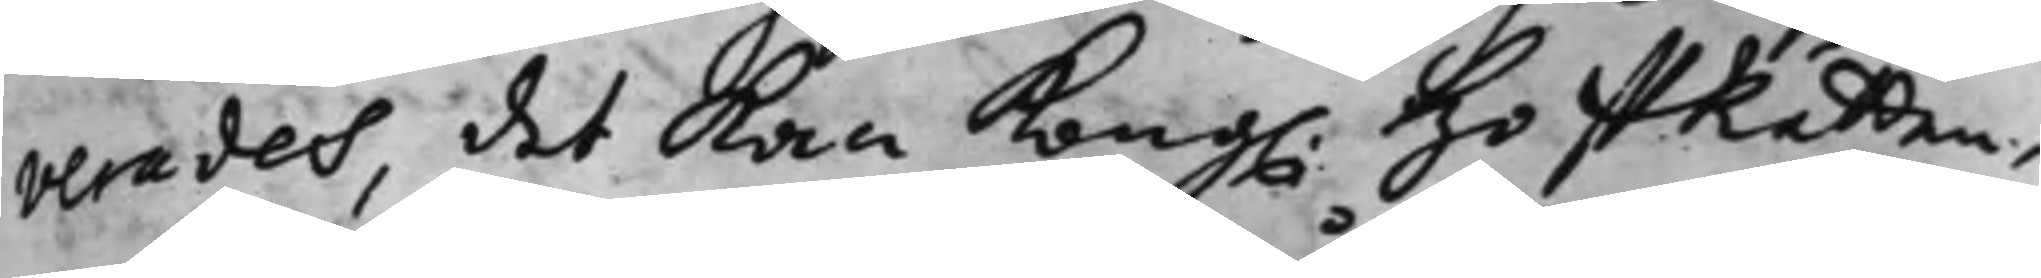verades, det kan Kong. HoffRätten,
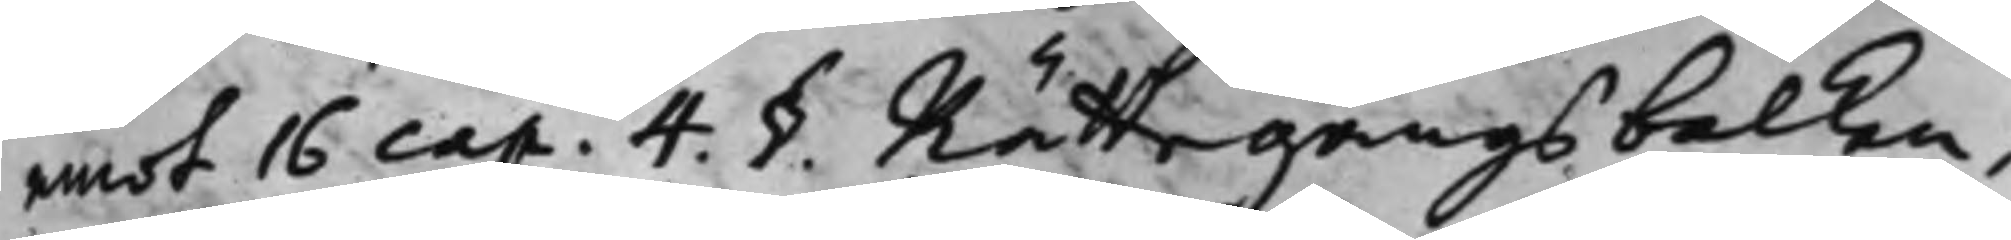emot 16 Cap. 4. §  Rättegångsbalken,
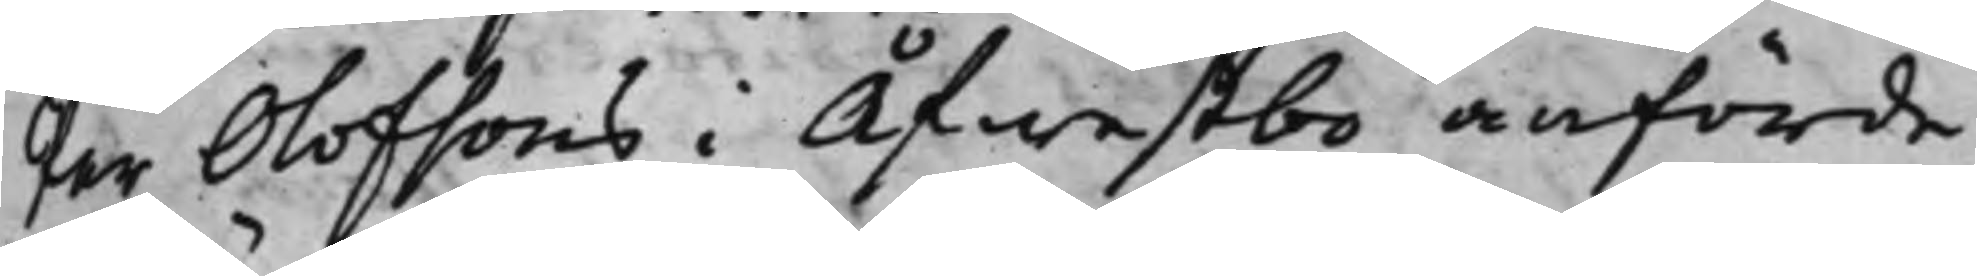Per Olofsons i Öfwestbo anförde
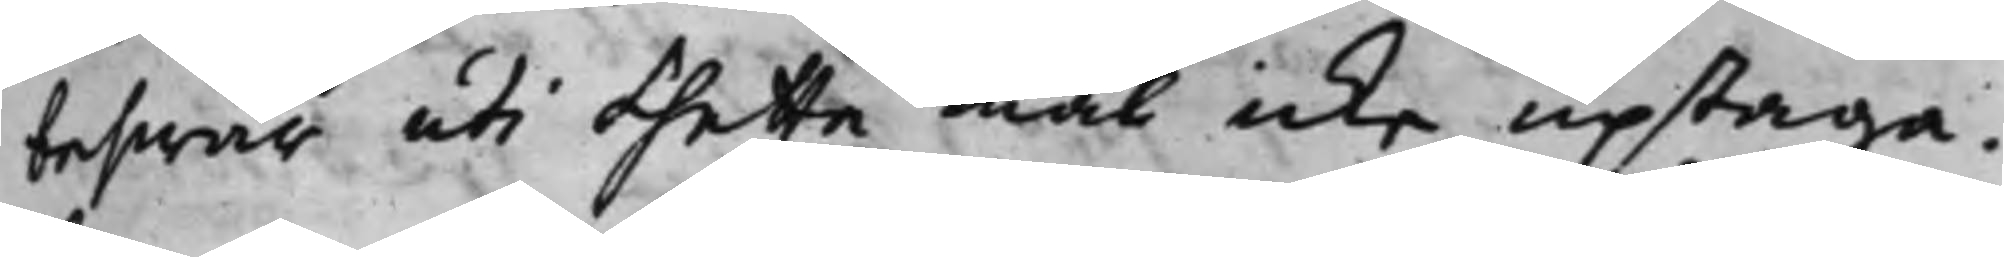beswär uti thetta mål icke uptaga.
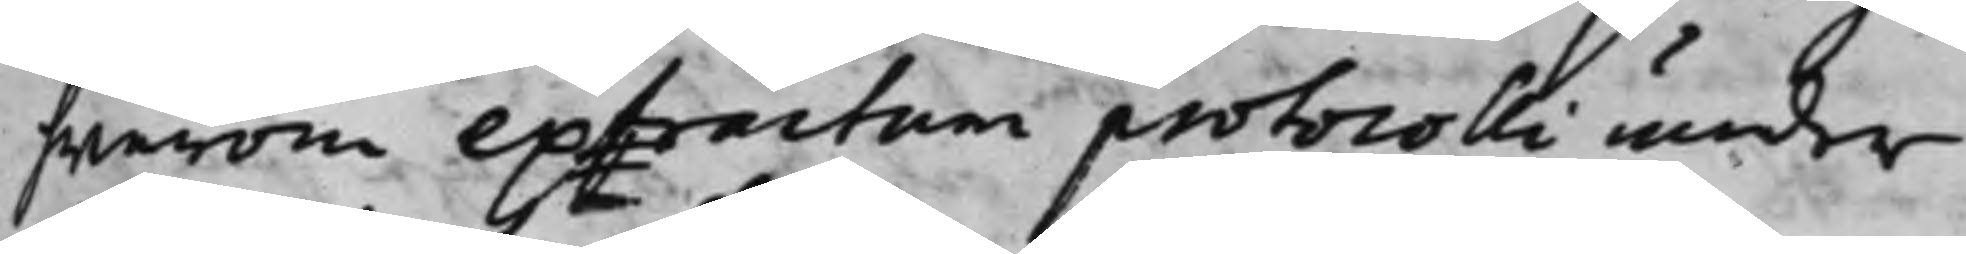hwarom extractum protocolli under
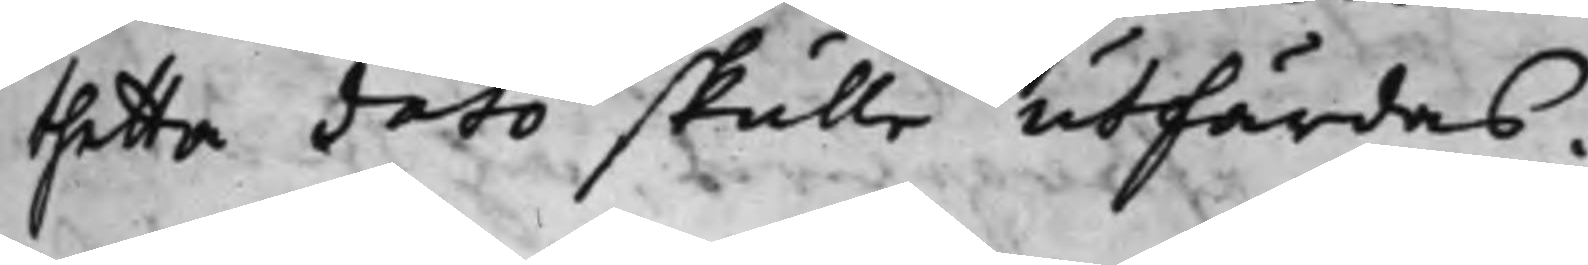thetta dato skulle utfärdas.
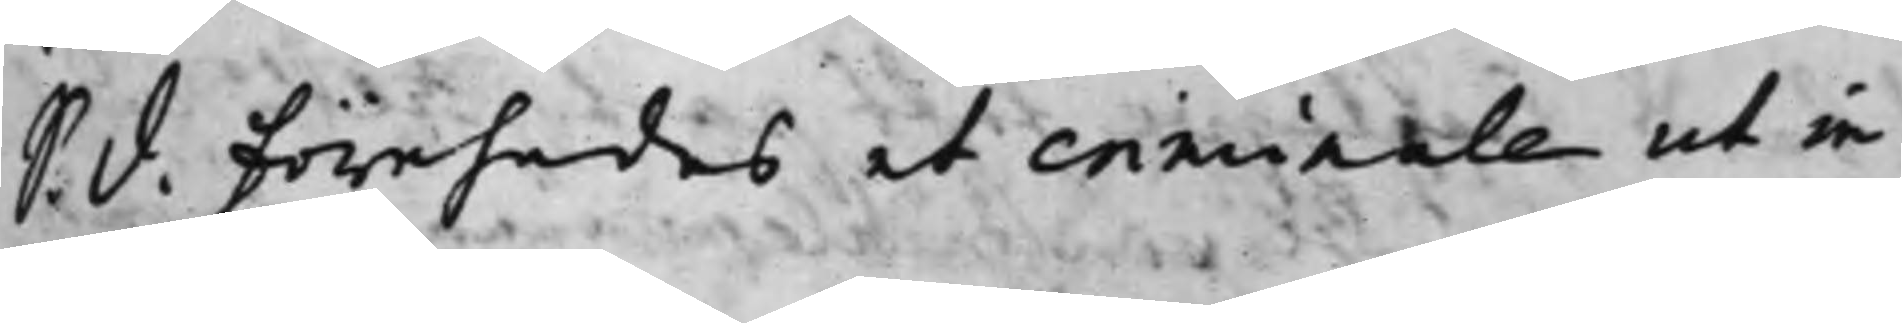S. d. Förehades et criminale ut in
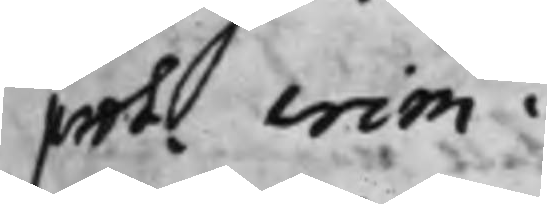prot. crim.
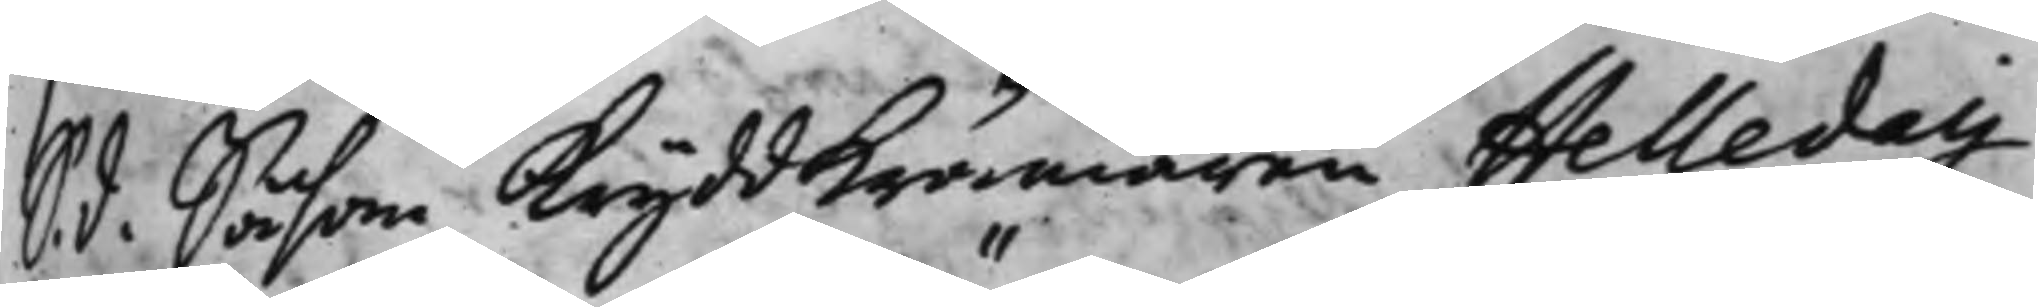S. d. Såsom Kryddkrämaren Helledaij
